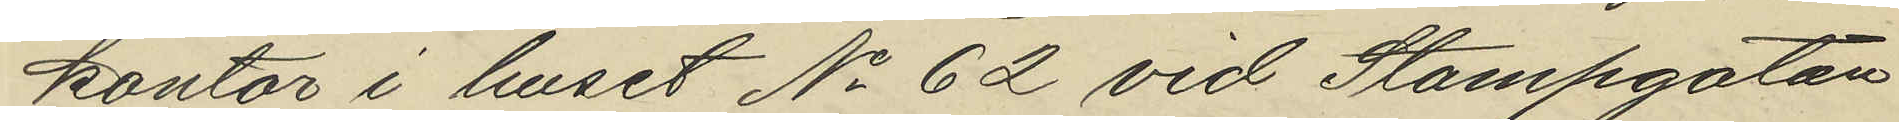kontor i huset No 62 vid Stampgatan
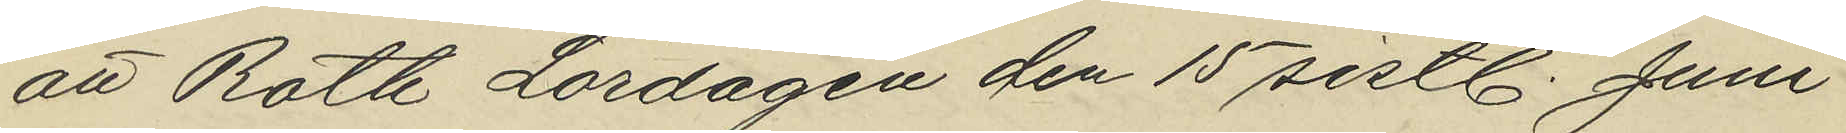att Roth Lördagen den 15 sistl. Juni
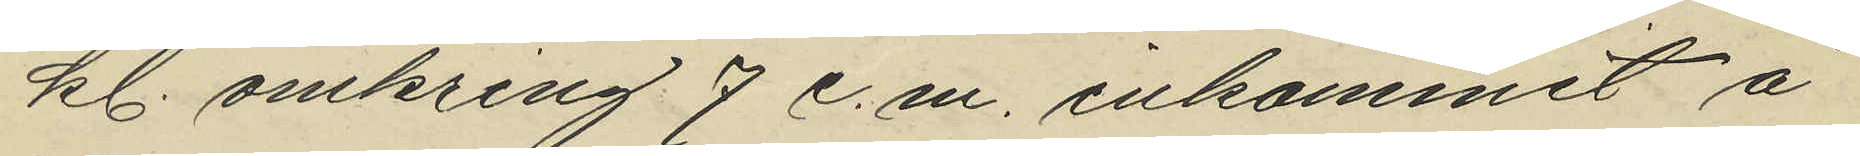kl. omkring 9 e. m. inkommit å
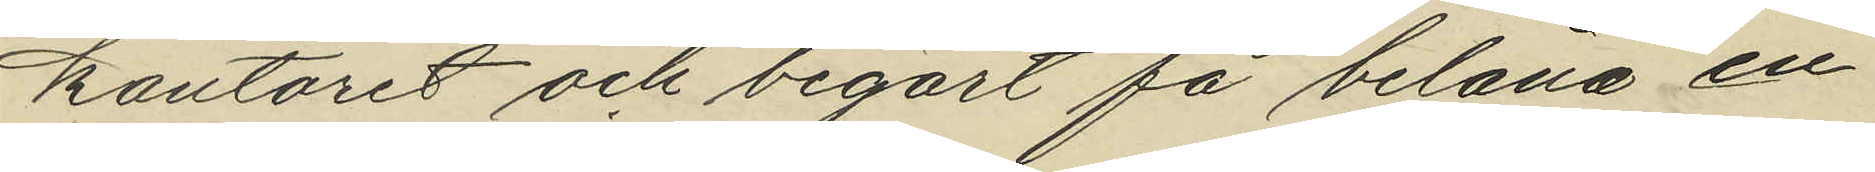kontoret och begärt få belåna en
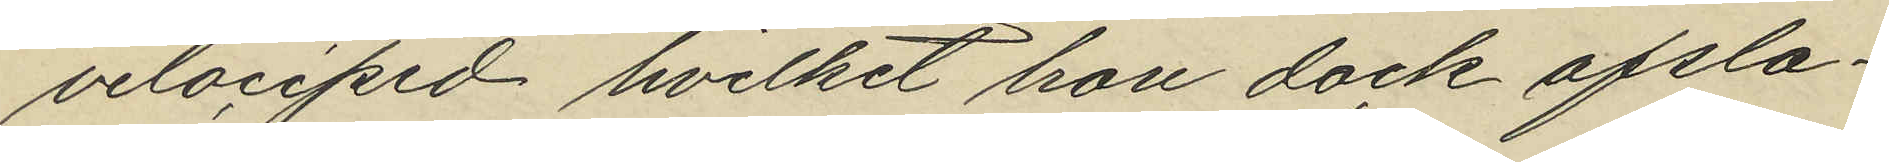velociped hvilket hon dock afsla¬
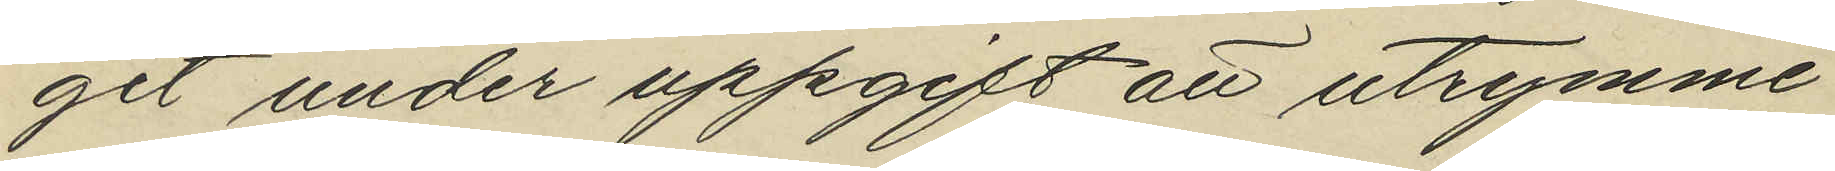git under uppgift att utrymme
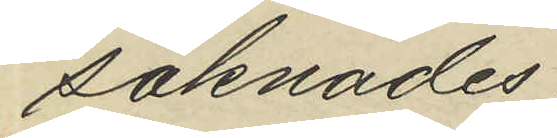saknades.
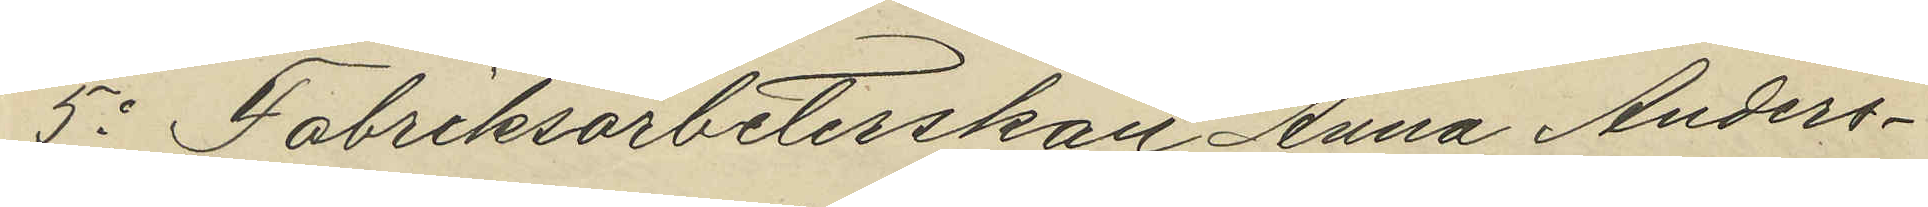5o Fabriksarbeterskan Anna Anders¬
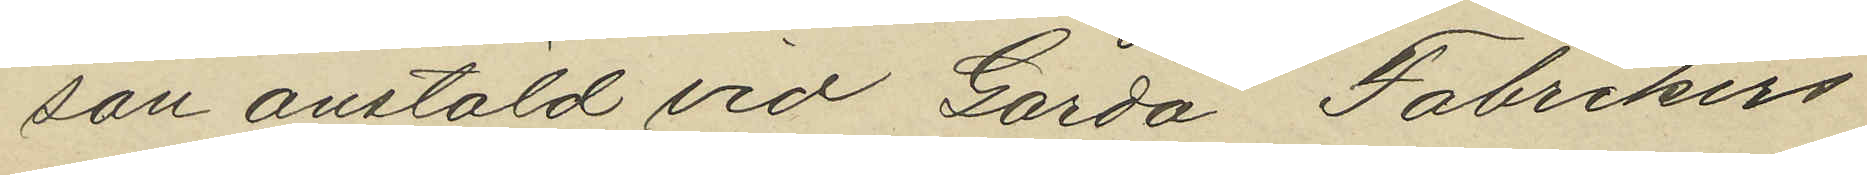son anstäld vid Gårda Fabrikers
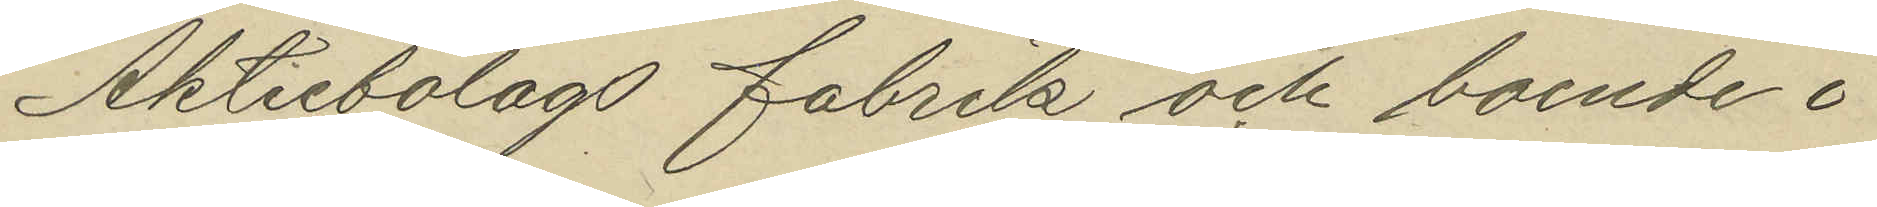Aktiebolags Fabrik och boende i
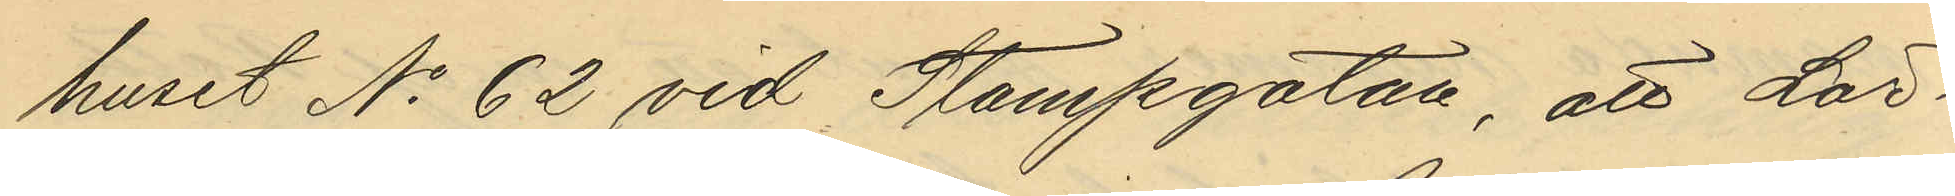huset No 62 vid Stampgatan, att Lör¬
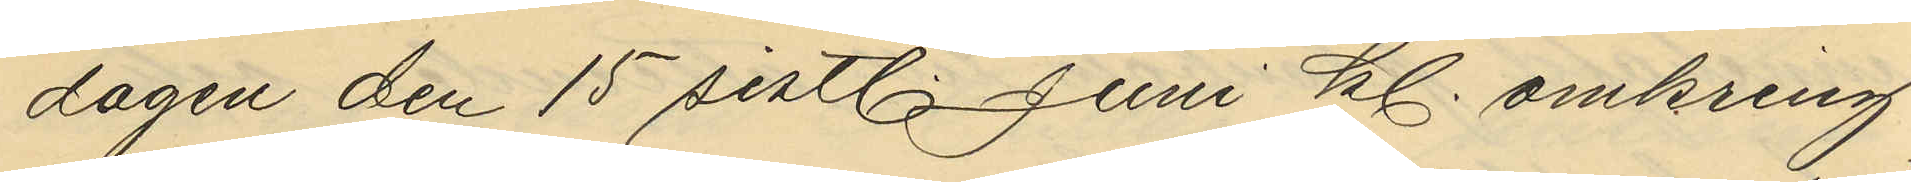dagen den 15 sistl. Juni kl. omkring
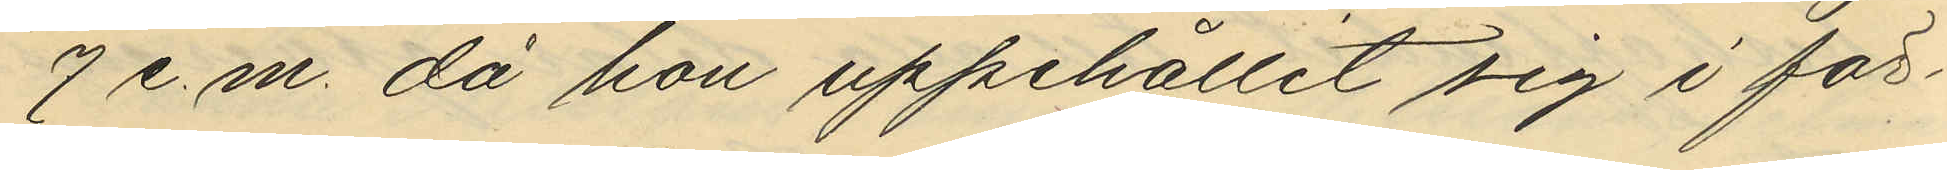7 e.m. då hon uppehållit sig i för¬
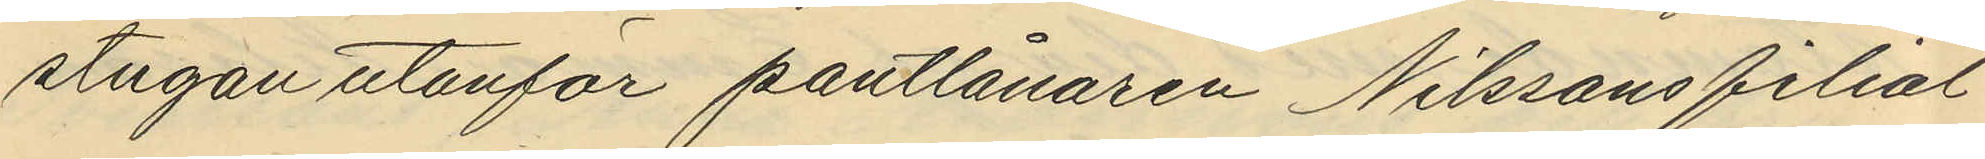stugan utanför pantlånaren Nilssons filial
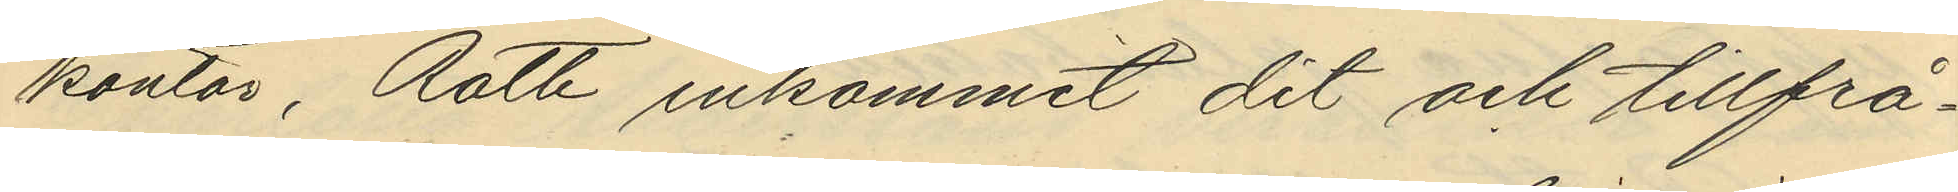kontor, Roth inkommit dit och tillfrå¬
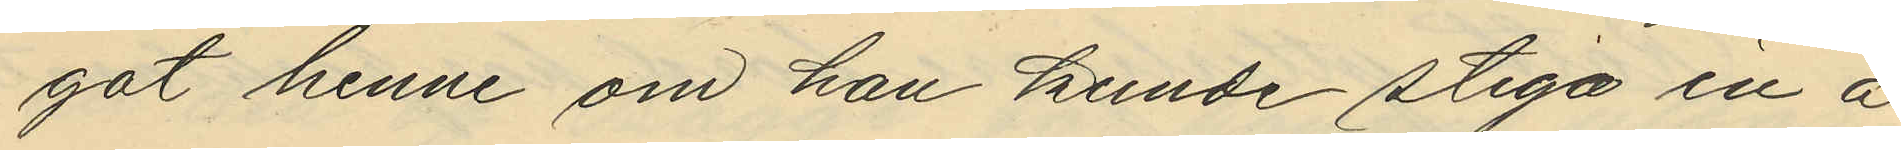got henne om han kunde stiga in å
